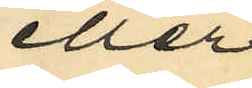eller
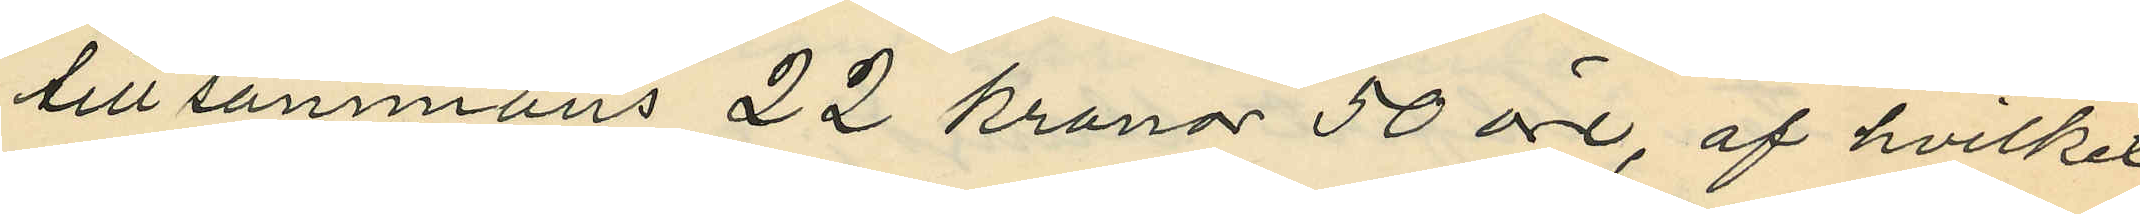tillsammans 22 kronor 50 öre, af hvilket
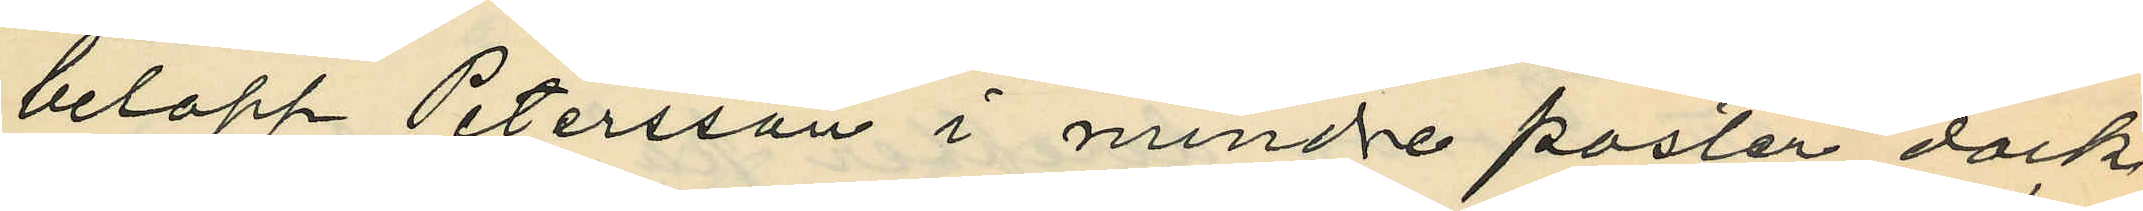belopp Petersson i mindre poster dock
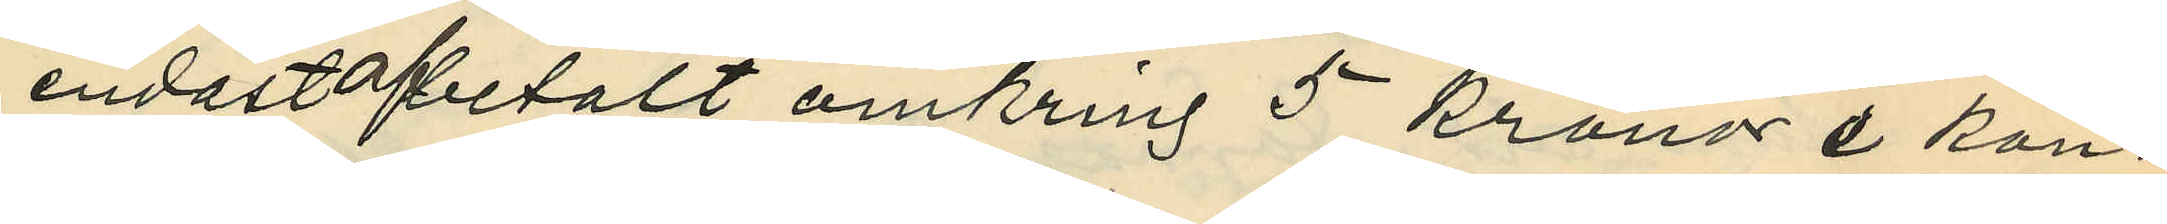endast afbetalt omkring 5 kronor i kon¬
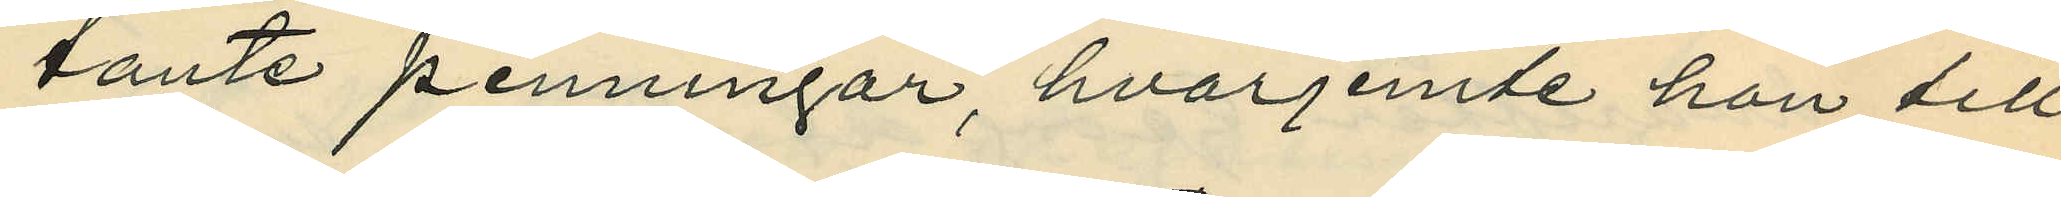tante penningar, hvarjemte hon till
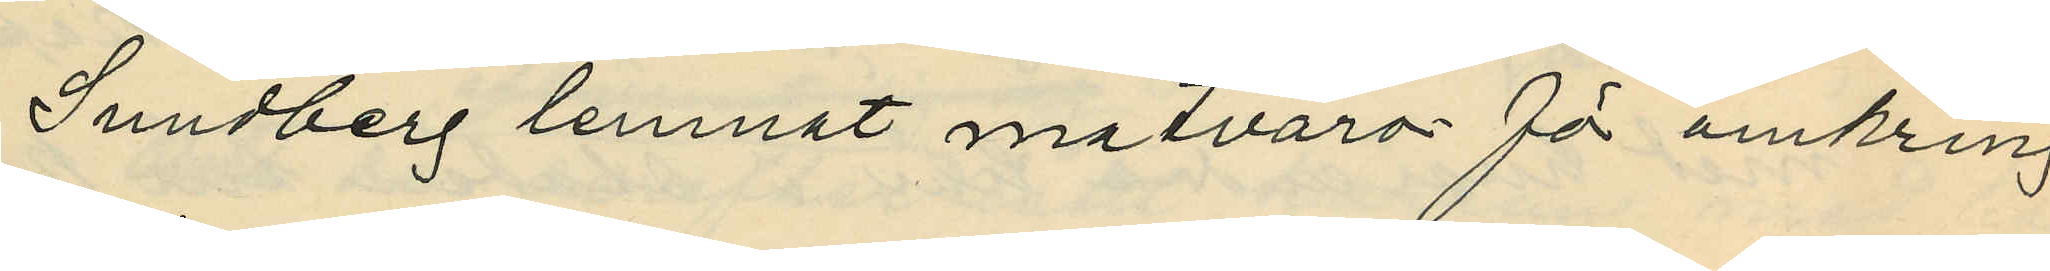Sundberg lemnat matvaror för omkring
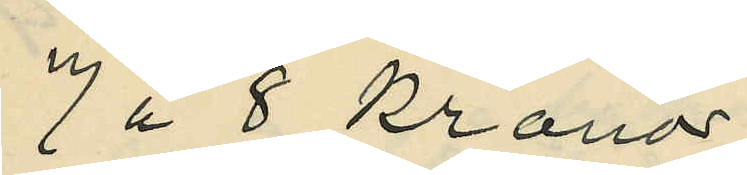7 à 8 kronor;
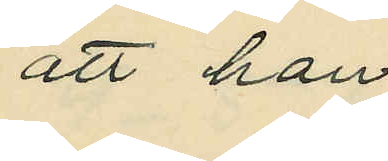att han
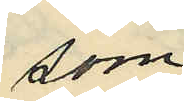som
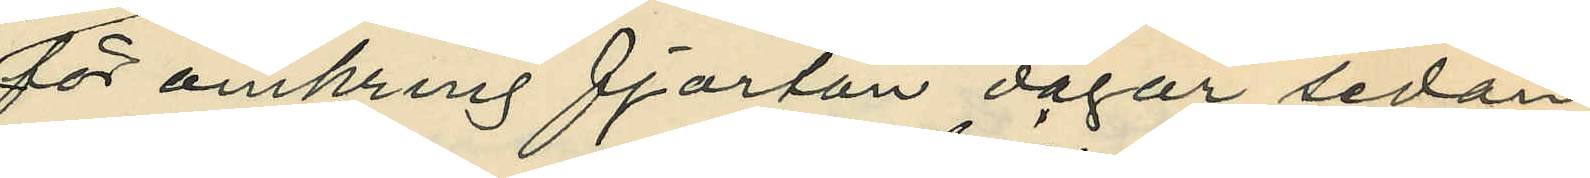för omkring fjorton dagar sedan
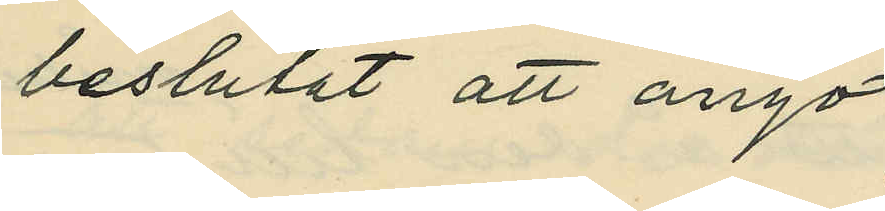beslutat att ånyo
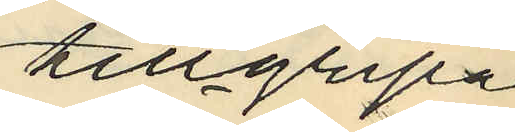tillgripa
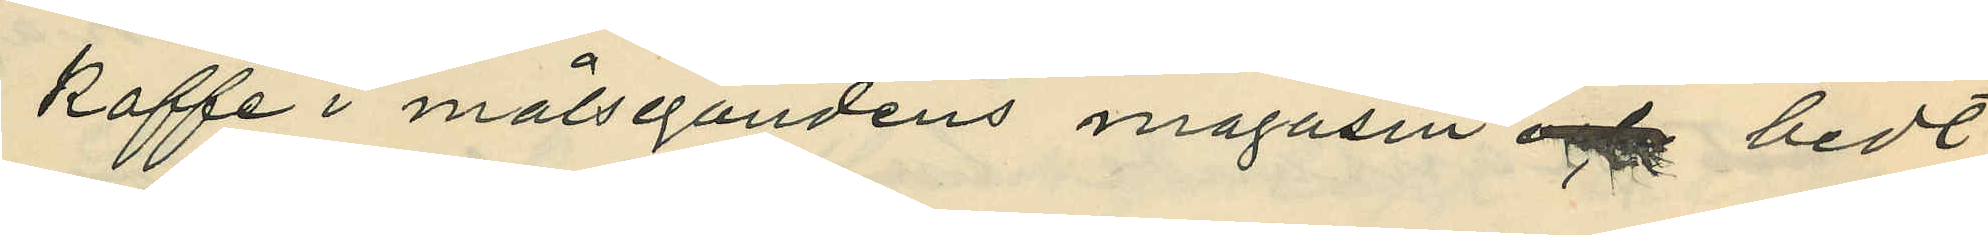kaffe i målsegandens magasin och bedt
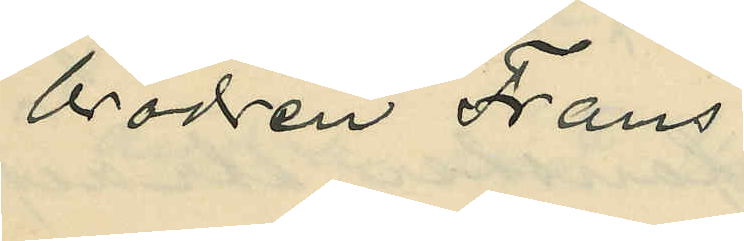brodren Frans
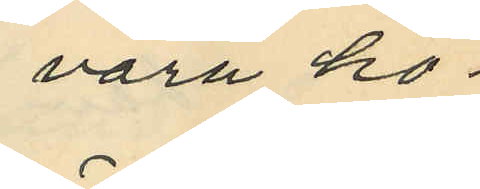vara ho¬
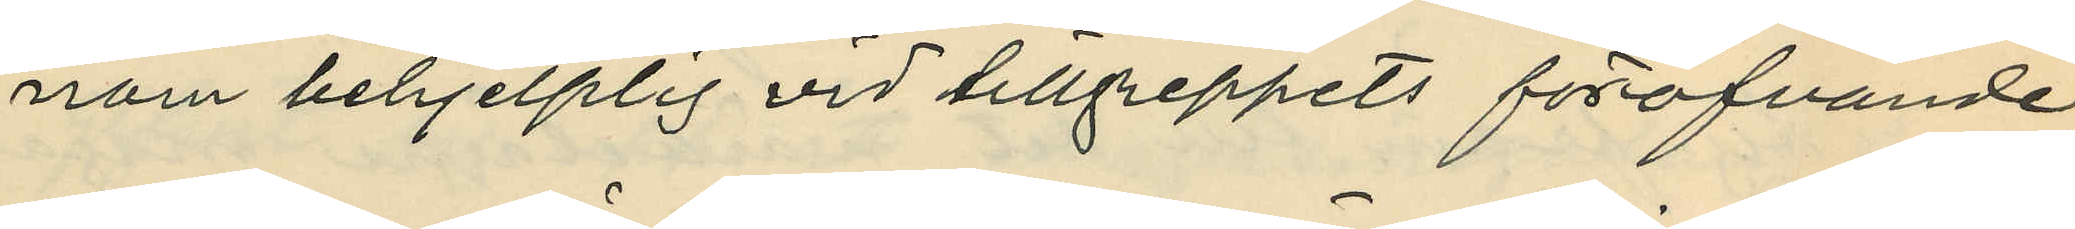nom behjelplig vid tillgreppets föröfvande;
